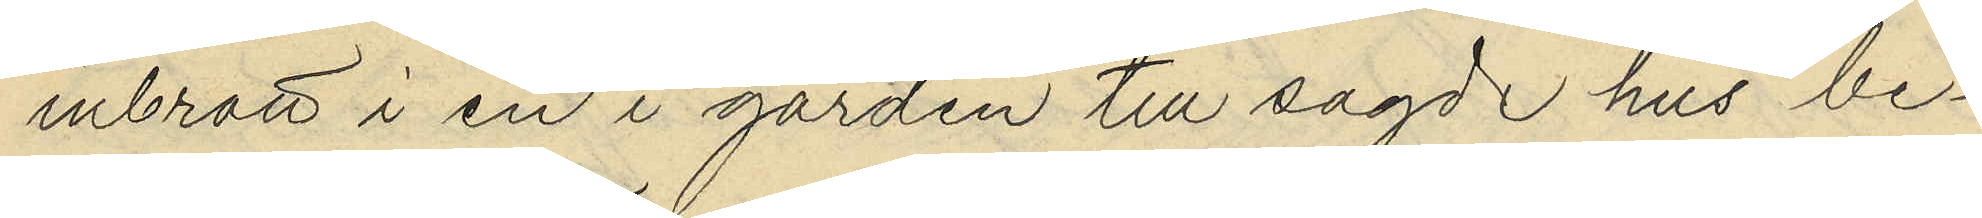inbrott i en i gården till sagde hus be¬
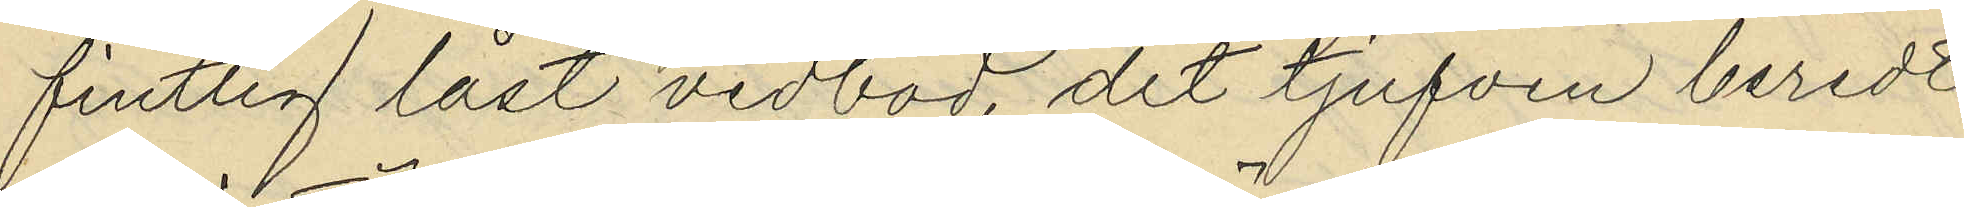fintlig låst vedbod, dit tjufven beredt
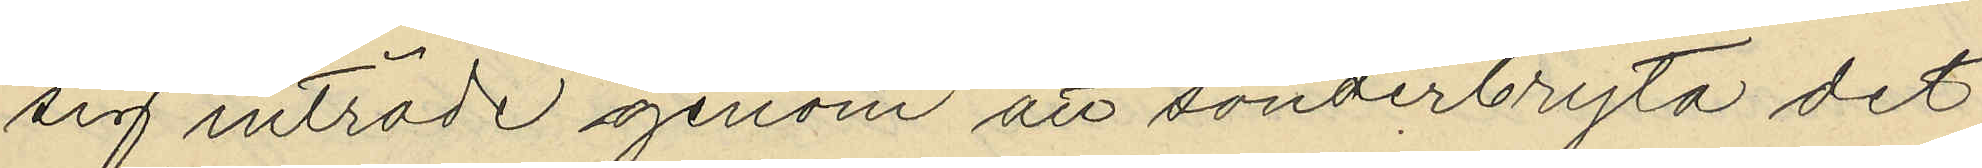sig inträde genom att sönderbryta det
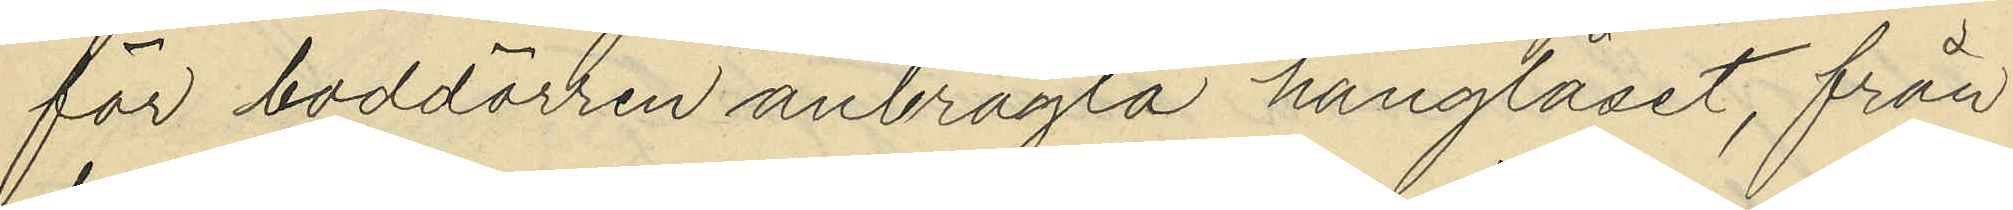för boddörren anbragta hänglåset, från
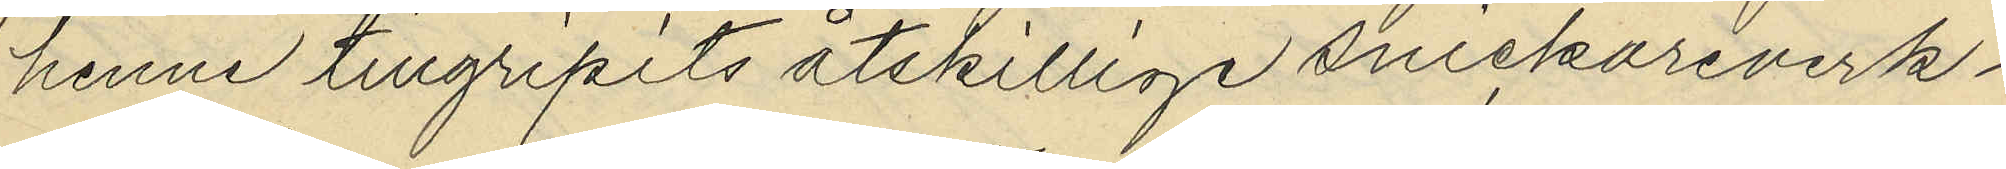henne tillgripits åtskillige snickareverk¬
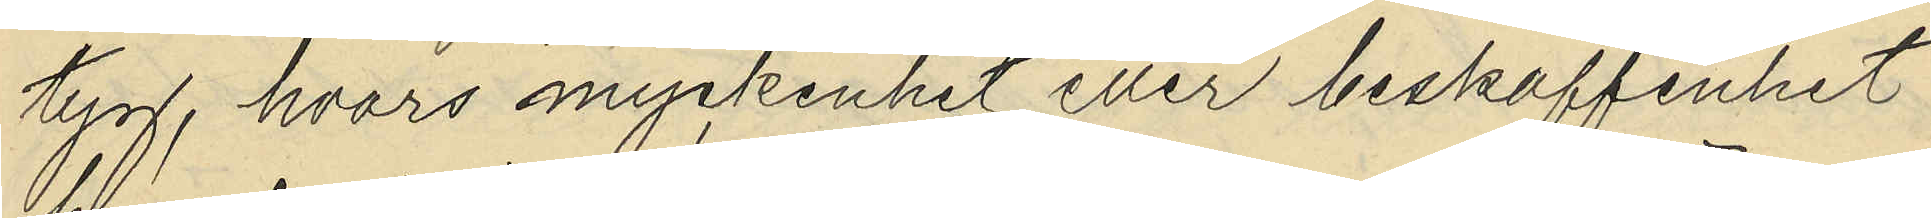tygg, hvars myckenhet eller beskaffenhet
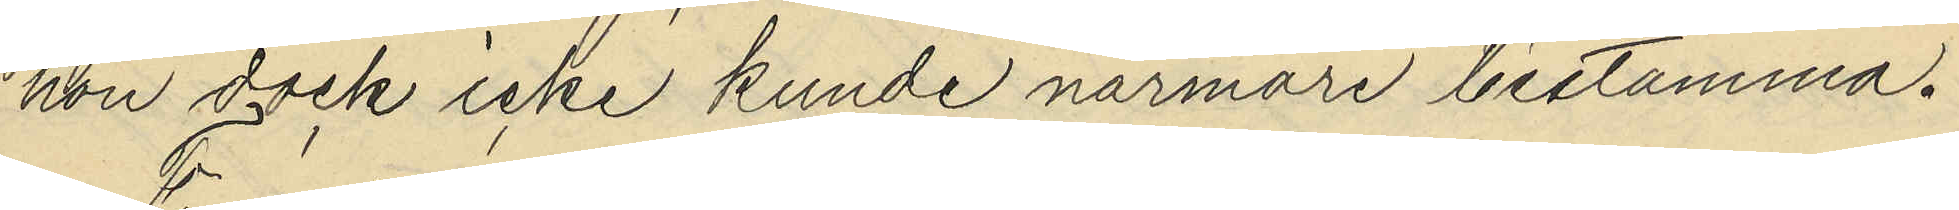hon dock icke kunde närmare bestämma.
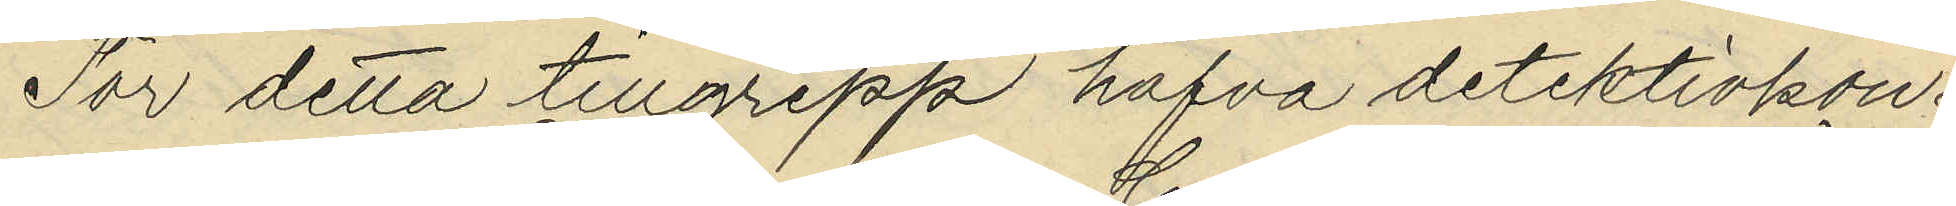För detta tillgrepp hafva detektivkon¬
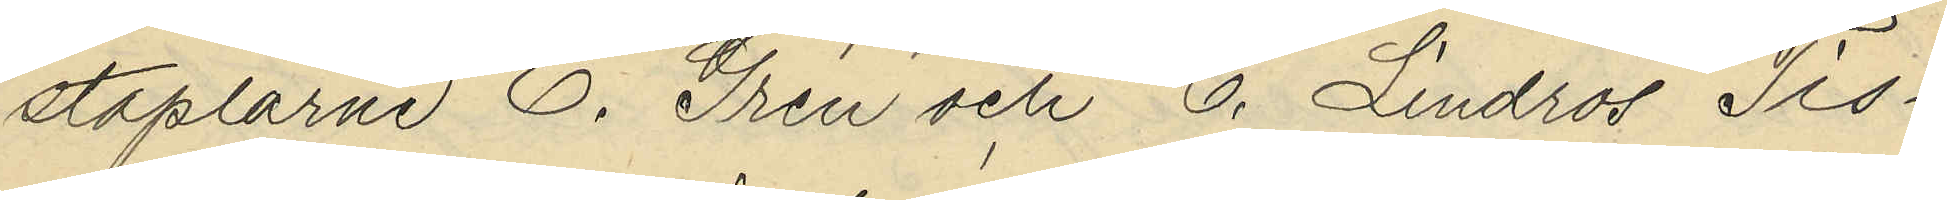staplarne E. Gren och G. Lindros Tis¬
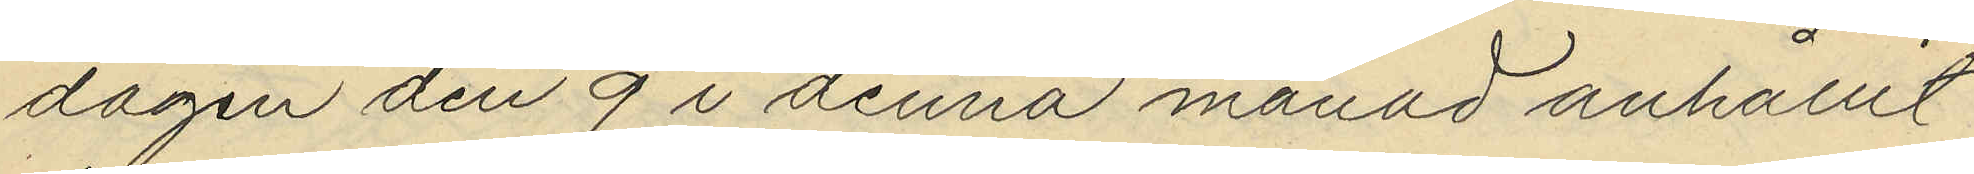dagen den 9 i denna månad anhållit
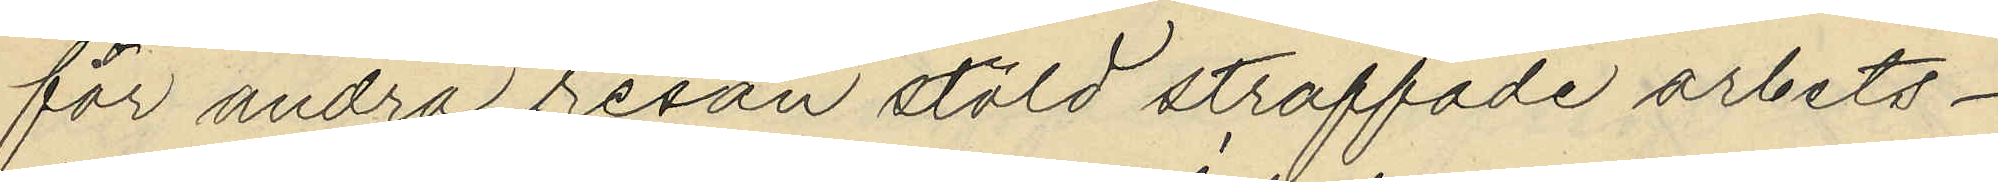för andra resan stöld straffade arbets¬
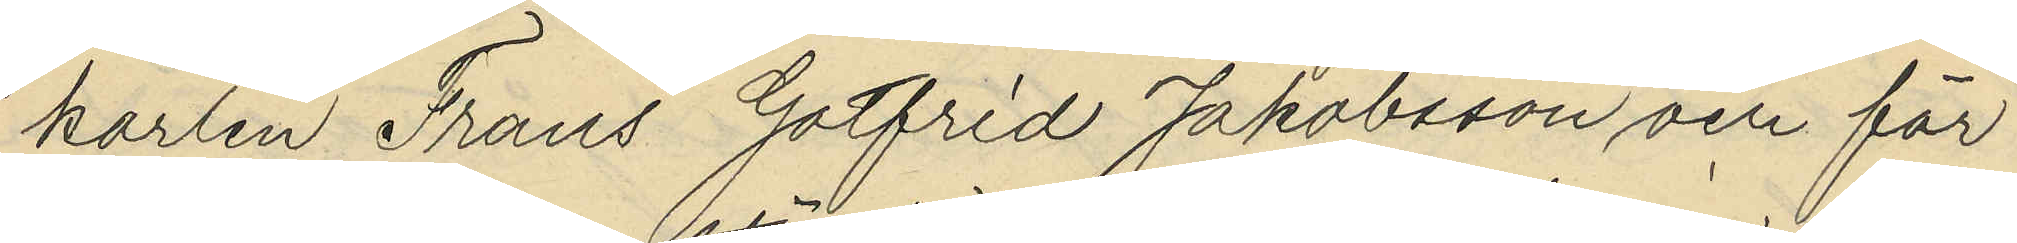karlen Frans Gotfrid Jakobsson och för
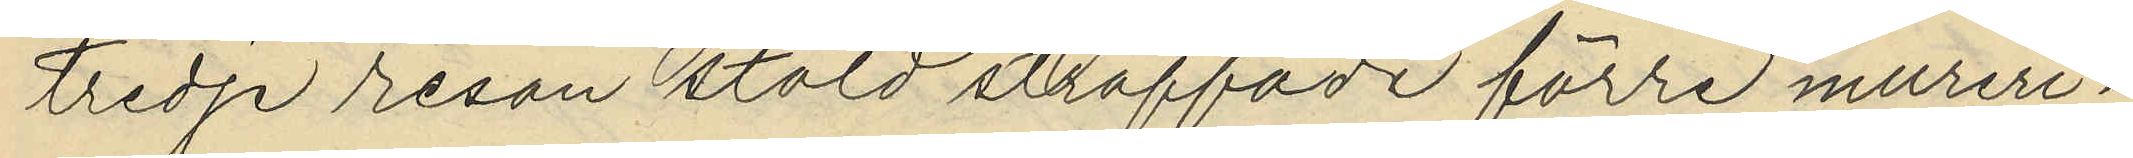tredje resan stöld straffade förre mureri¬
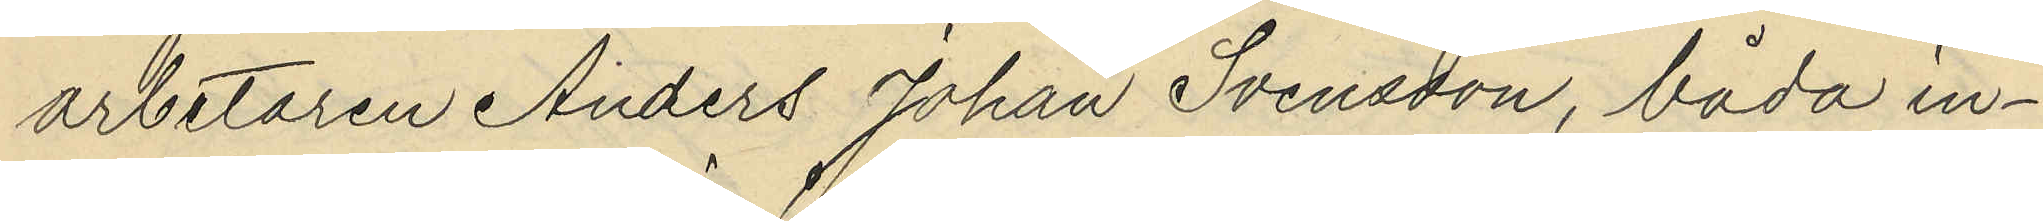arbetaren Anders Johan Svensson, båda in¬
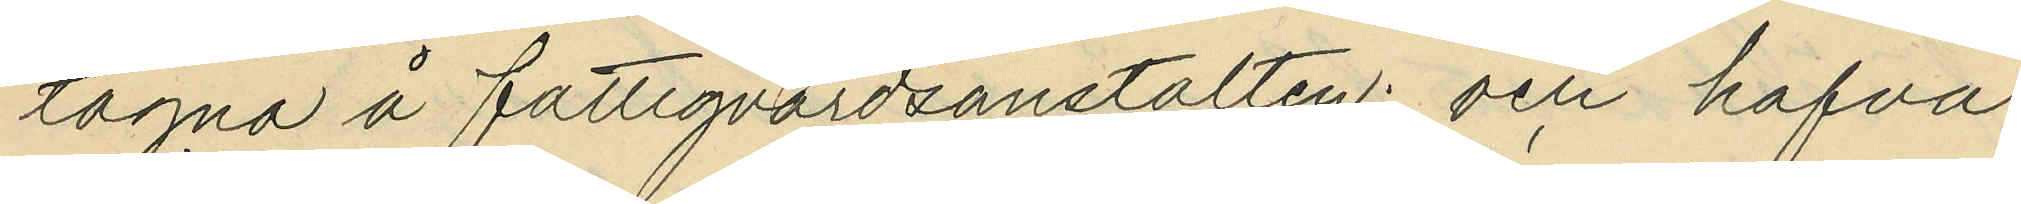tagna å fattigvårdsanstalten; och hafva
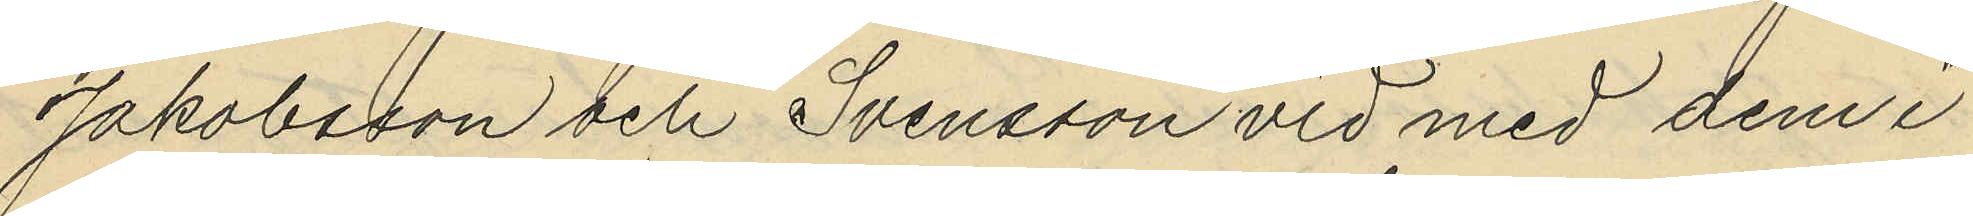Jakobsson och Svensson vid med dem i
